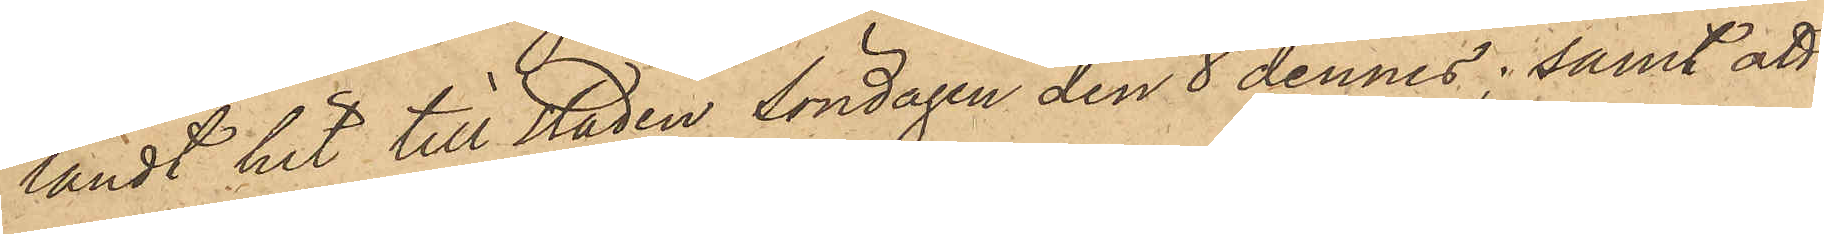ländt hit till staden Söndagen den 8 dennes; samt att
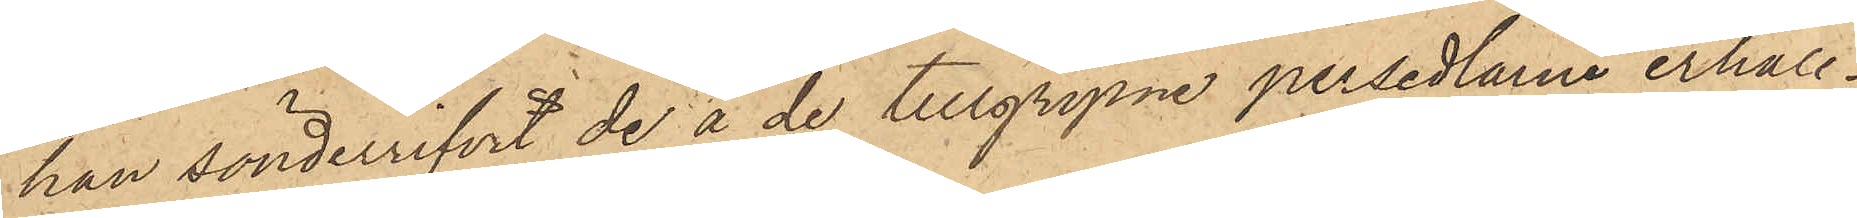han sönderrifvit de å de tillgripne persedlarne erhåll¬
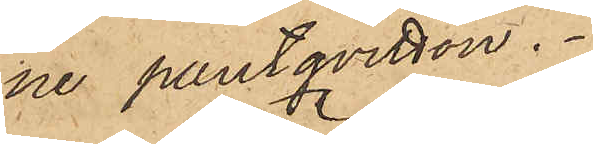ne pantqvitton.
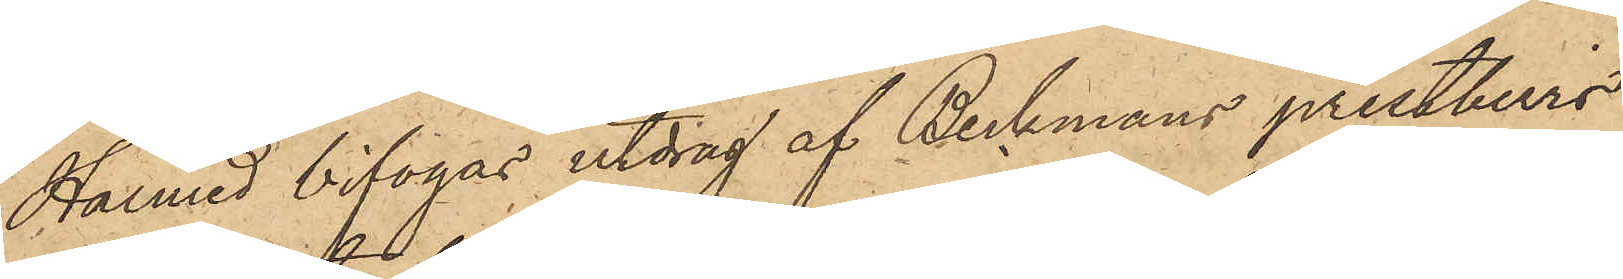Härmed bifogas utdrag af Beckmans prestbevis
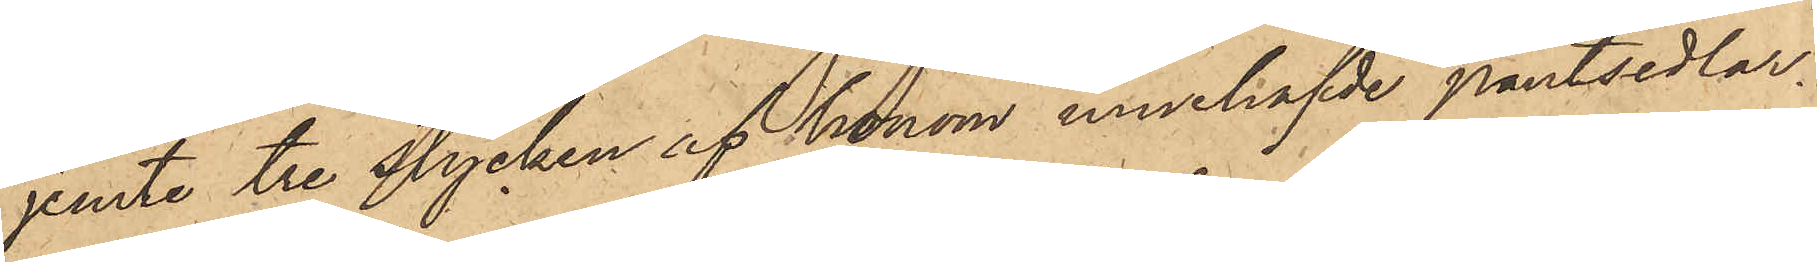jemte tre stycken af honom innehafde pantsedlar.
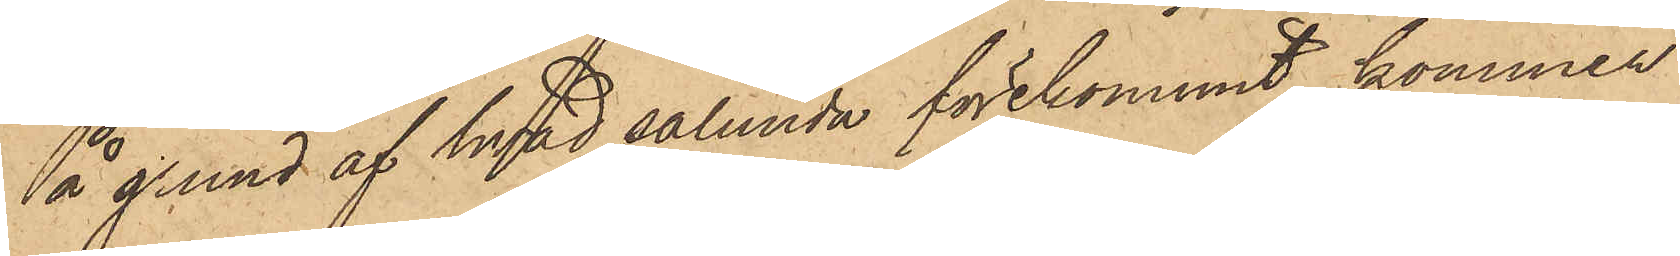På grund af hvad sålunda förekommit, kommer
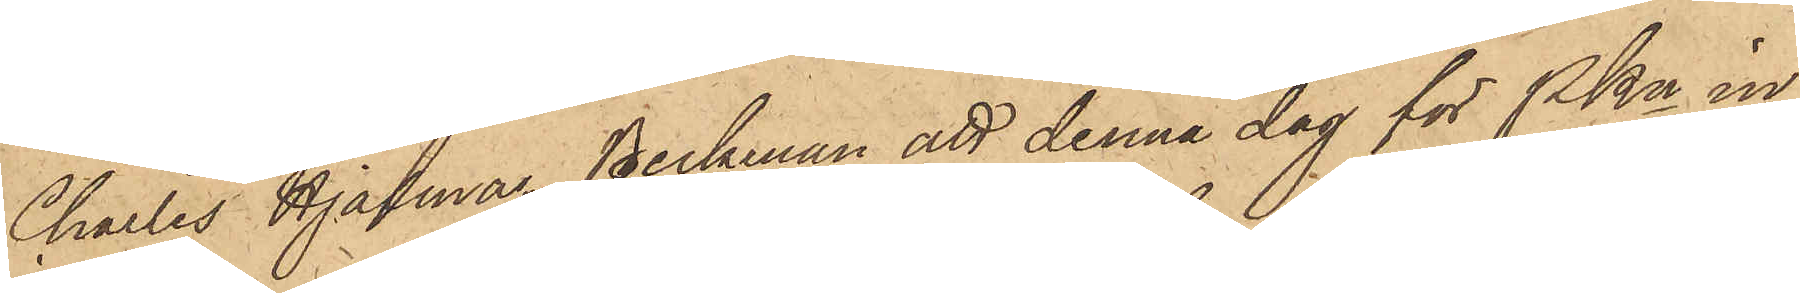Charles Hjalmar Beckman att denna dag för PKn in¬
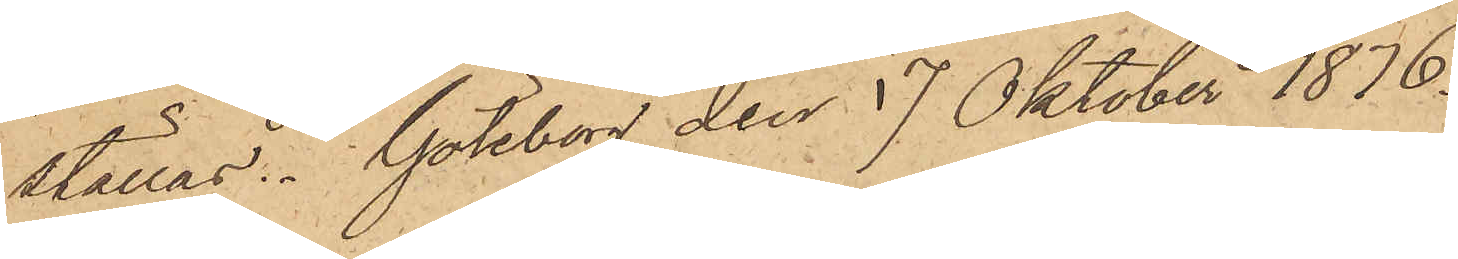ställas. Göteborg den 17 Oktober 1876.
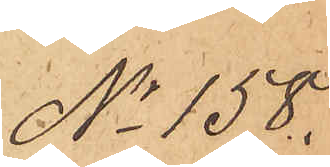No 158.
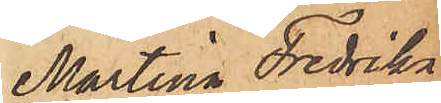Martina Fredrika
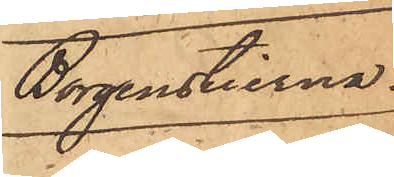Borgenstierna.
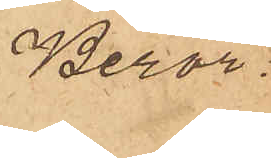Beror
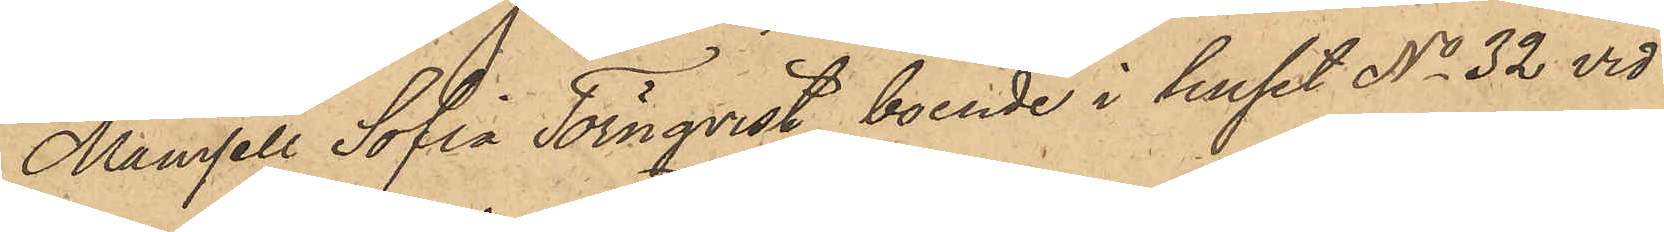Mamsell Sofia Törnqvist, boende i huset No 32 vid
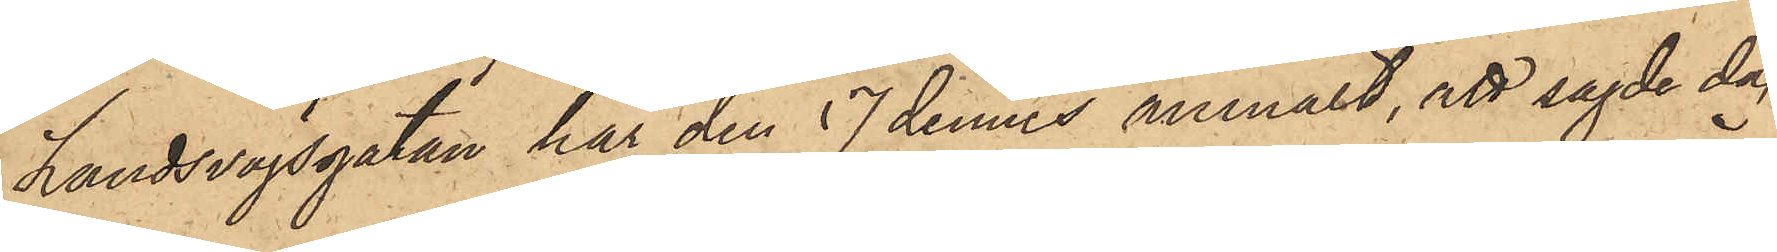Landsvägsgatan har den 17 dennes anmält, att sagde dag
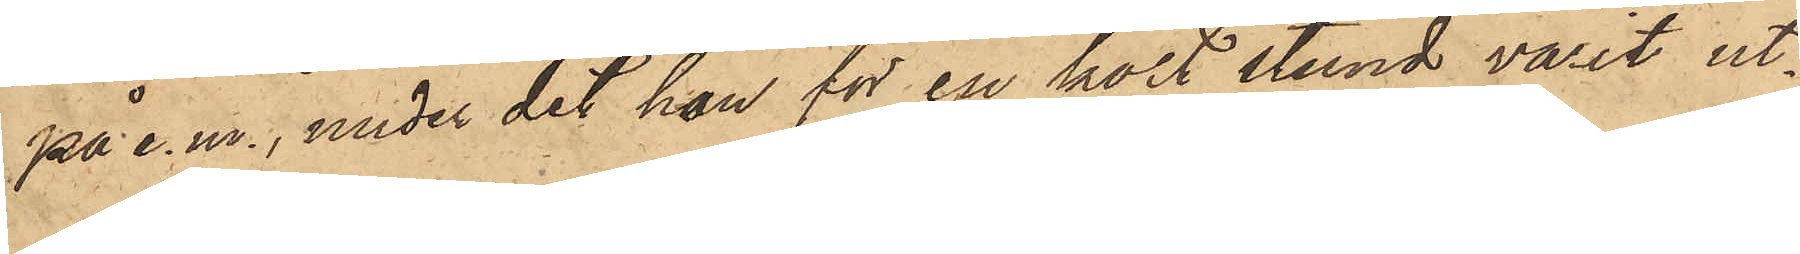på e. m., under det hon för en kort stund varit ut¬
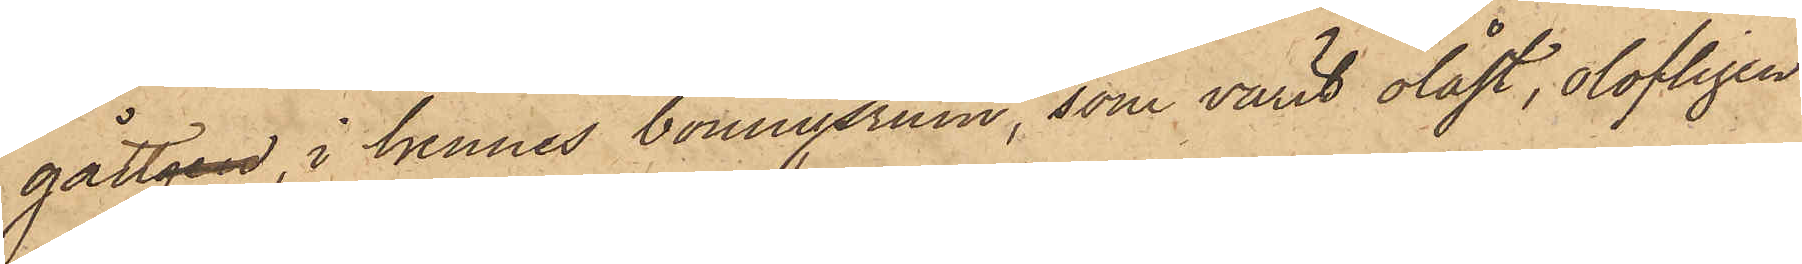gången, i hennes boningsrum, som varit olåst, olofligen
